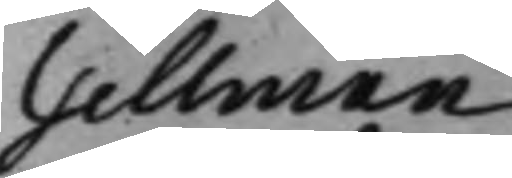Tellman
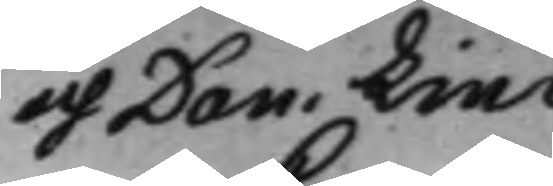och Dan. Lind
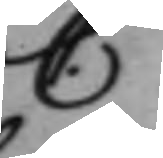C.
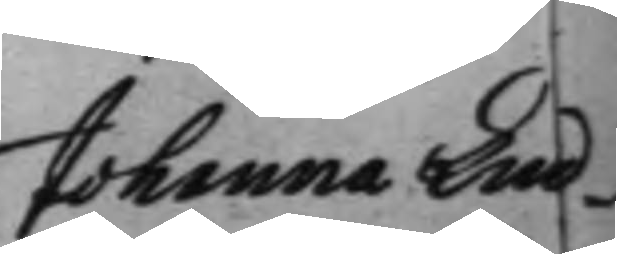Johanna Lind¬
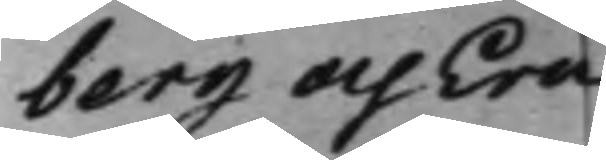berg och Eric
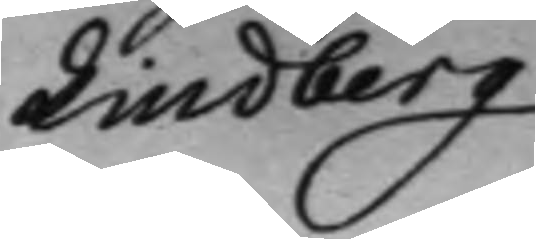Lindberg
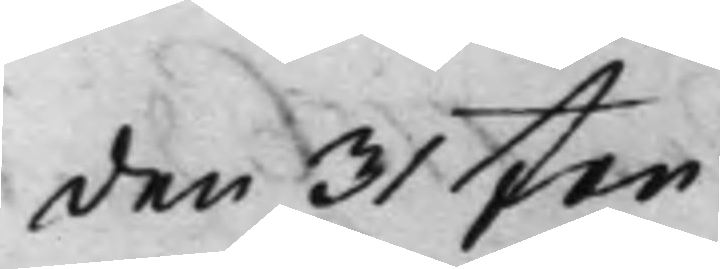den 31 Jan
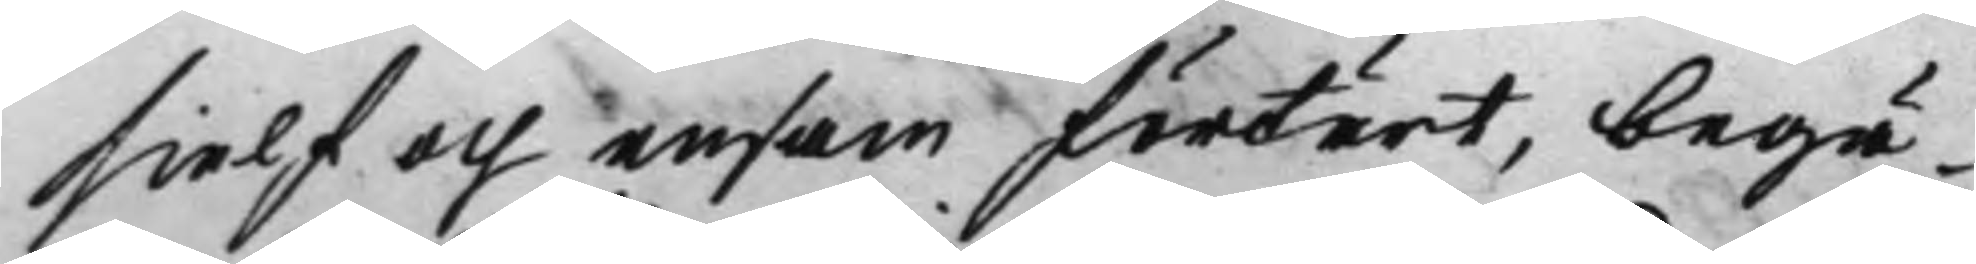sielf och ensam förtärt, begä¬
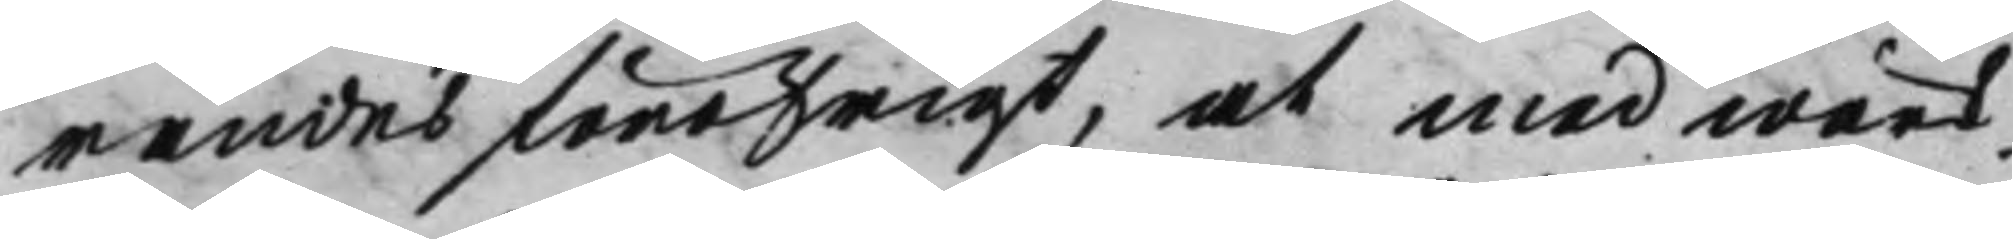randes föröfrigt, at med wärk¬
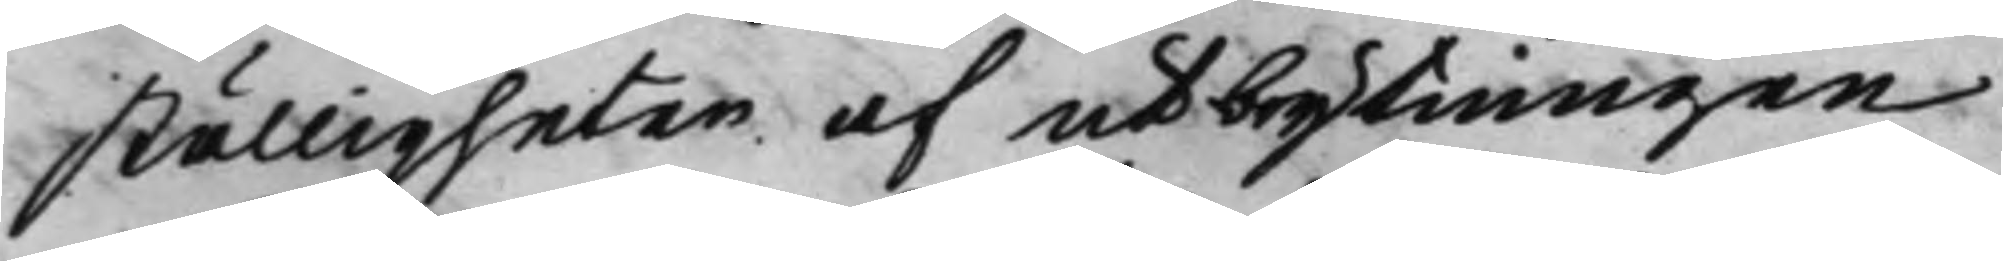ställigheten af utbrytningen
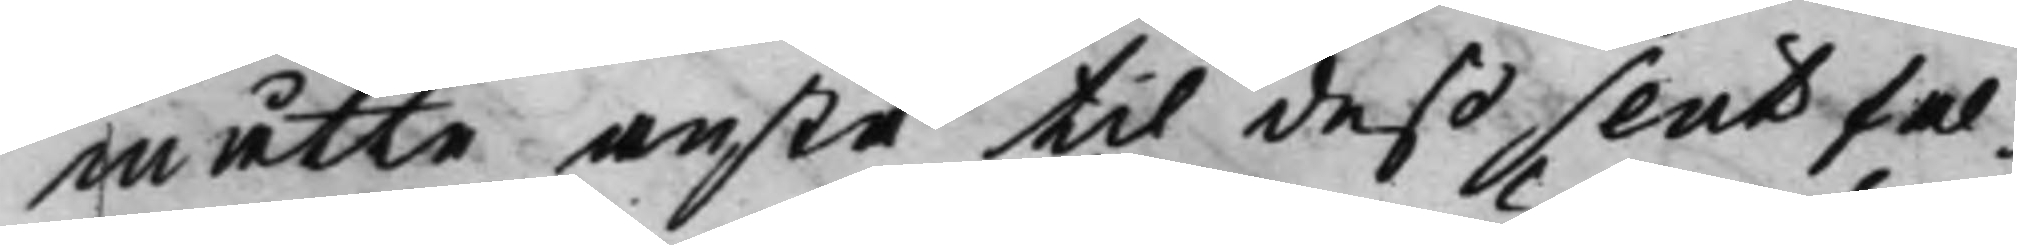måtte anstå til deß slut fal¬
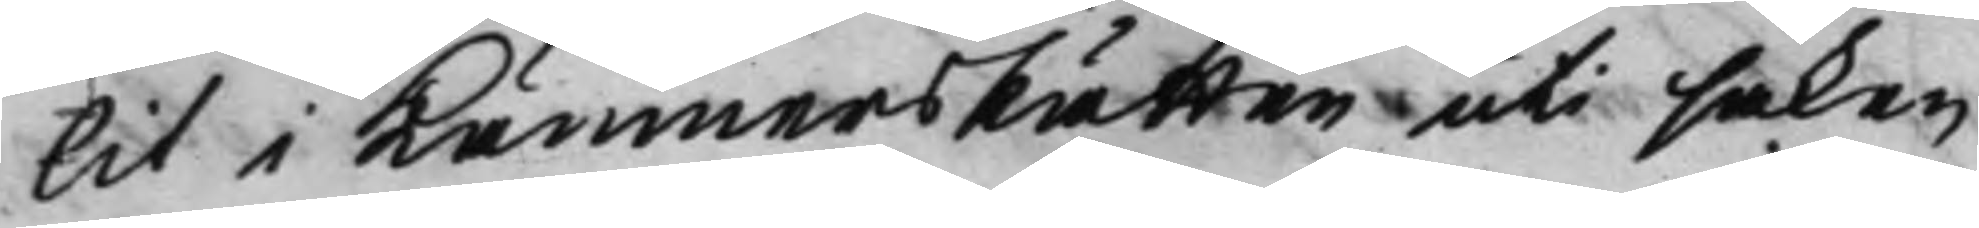lit i KämnersRätten uti saken
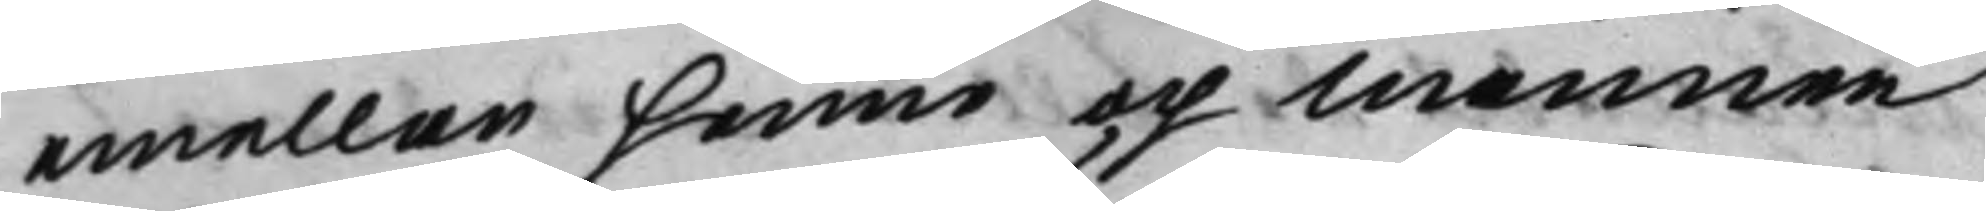emellan henne och mannen
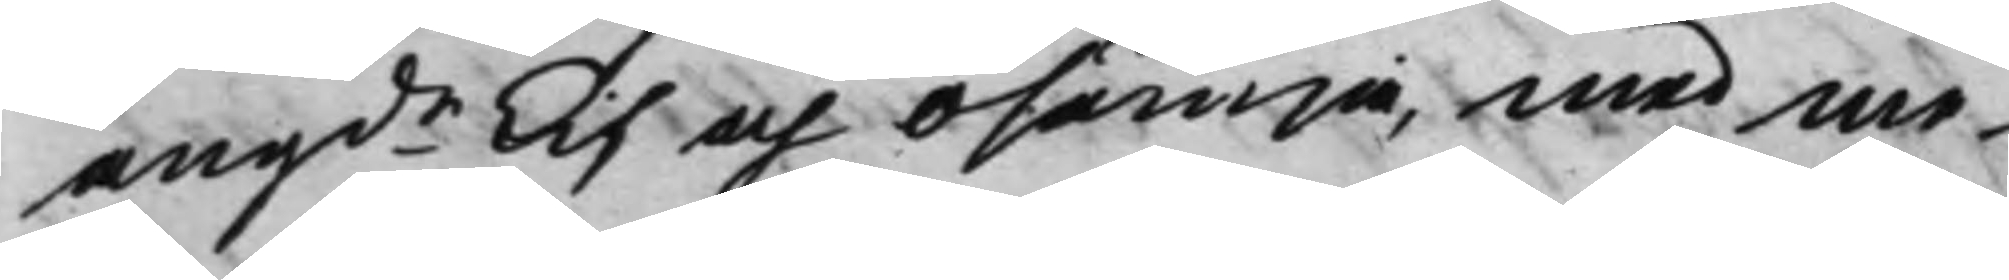angde Lif och osämja, med me¬
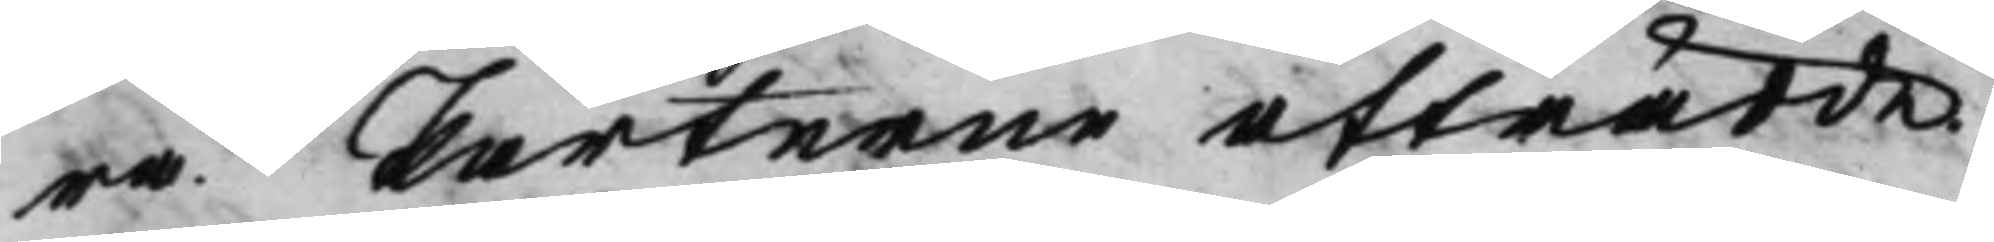ra. Parterne afträdde.
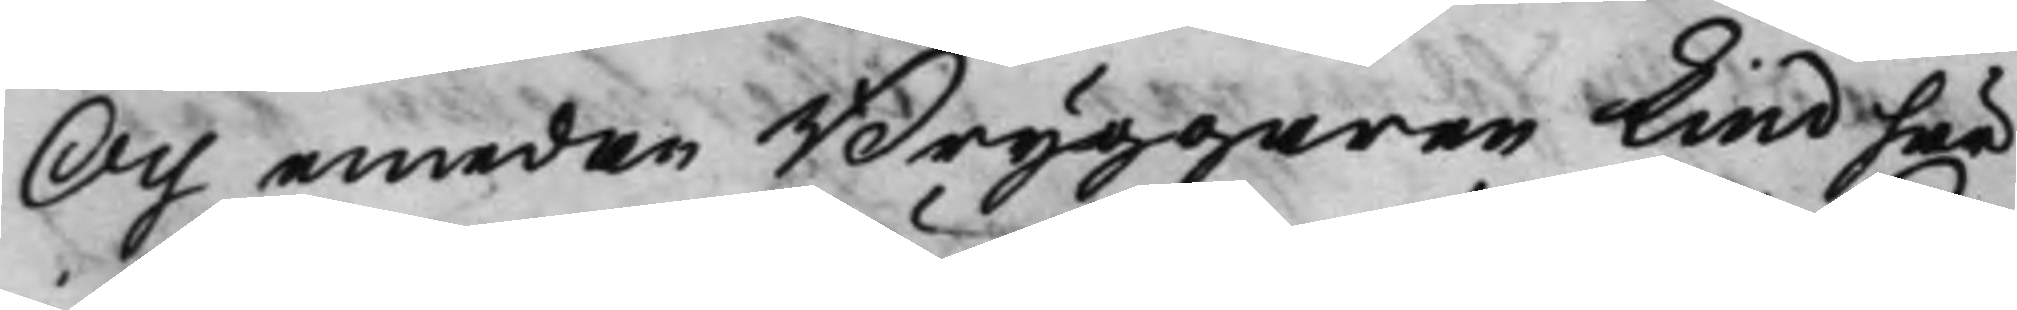Och emedan Bryggaren Lind här
